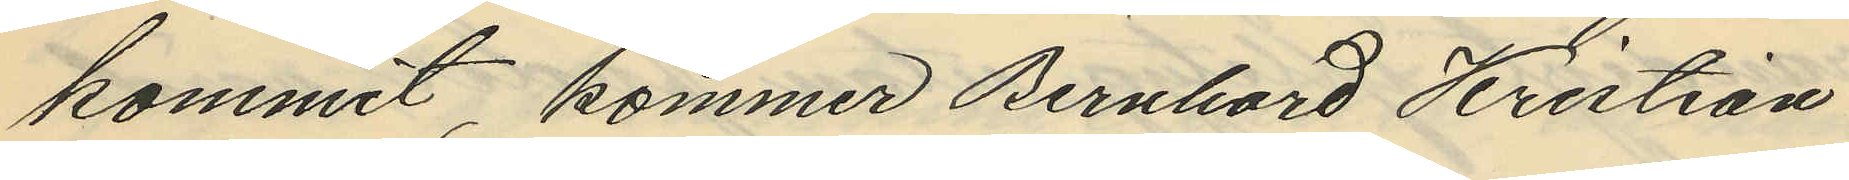kommit, kommer Bernhard Kristian
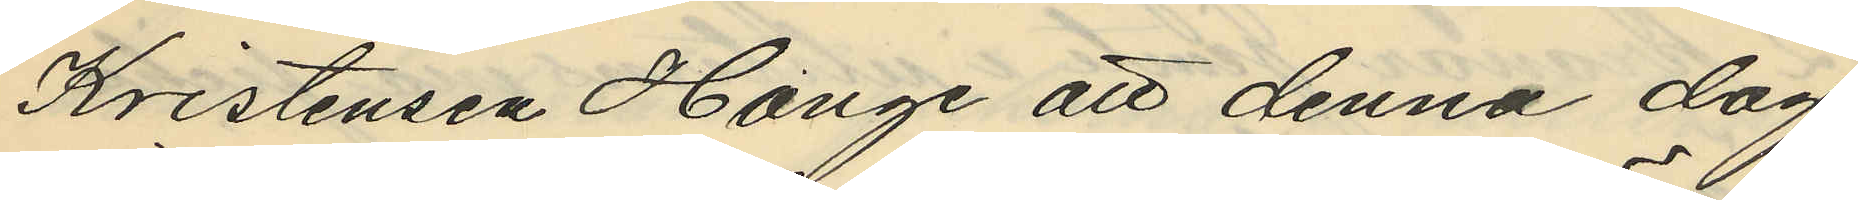Kristensen Hange att denna dag
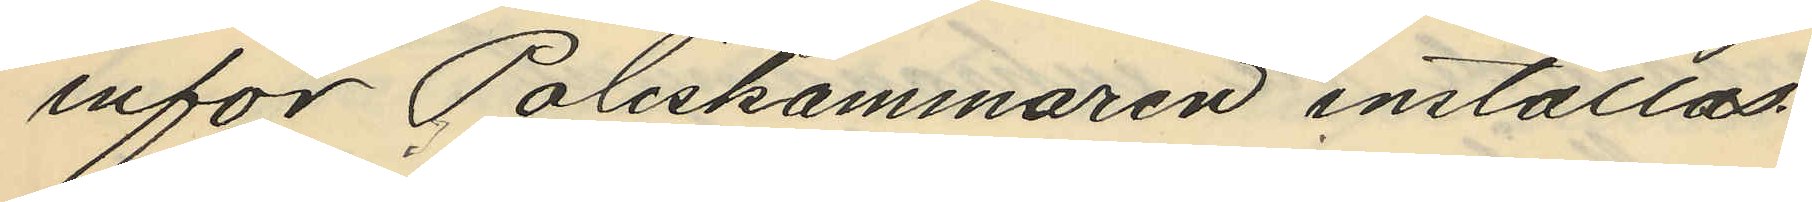inför Poliskammaren inställas.
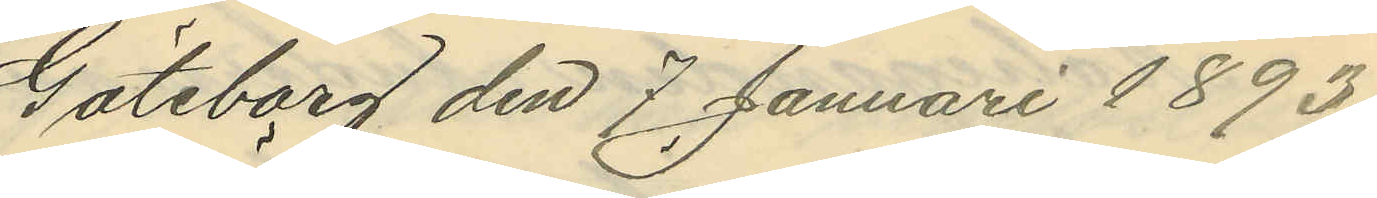Göteborg den 7 Januari 1893.
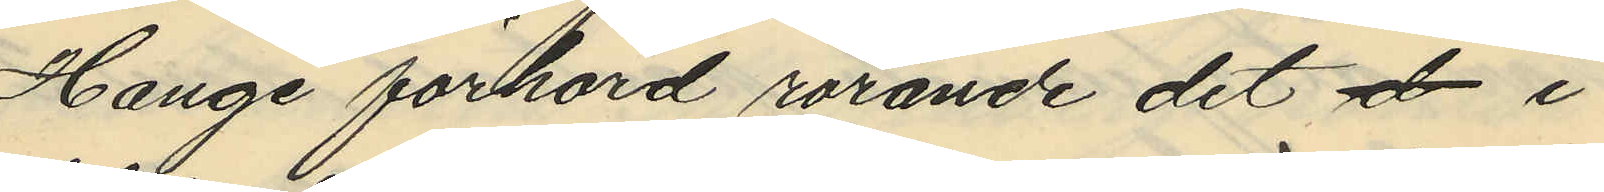Hange förhörd rörande det d i
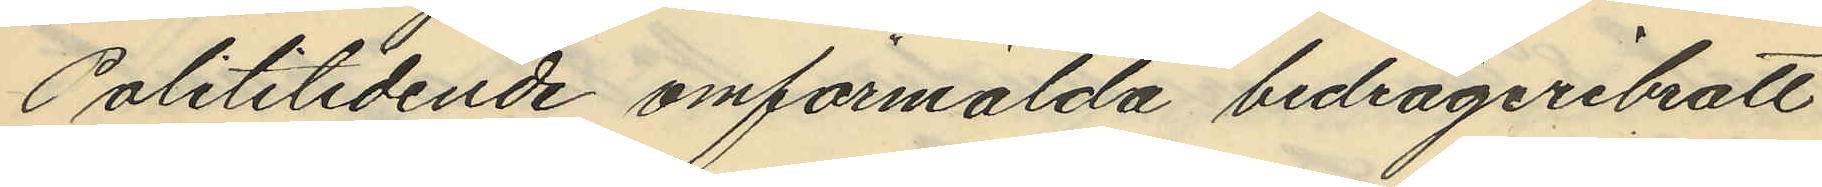Polititidende omförmälda bedrägeribrott
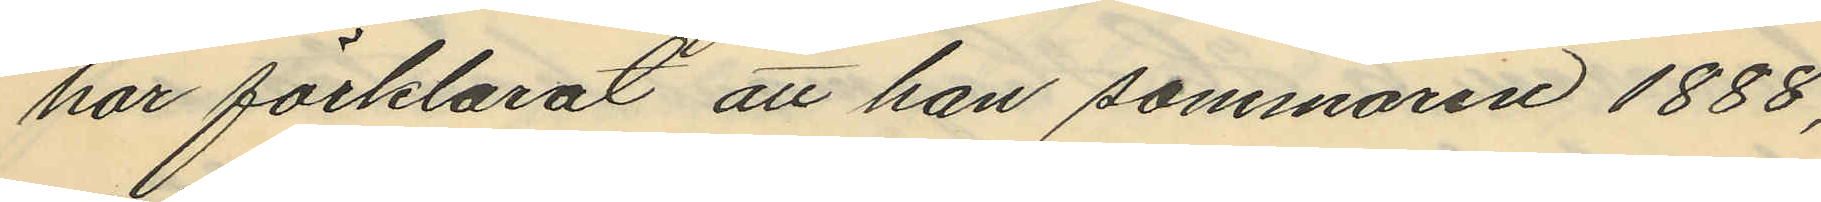har förklarat att han sommaren 1888,
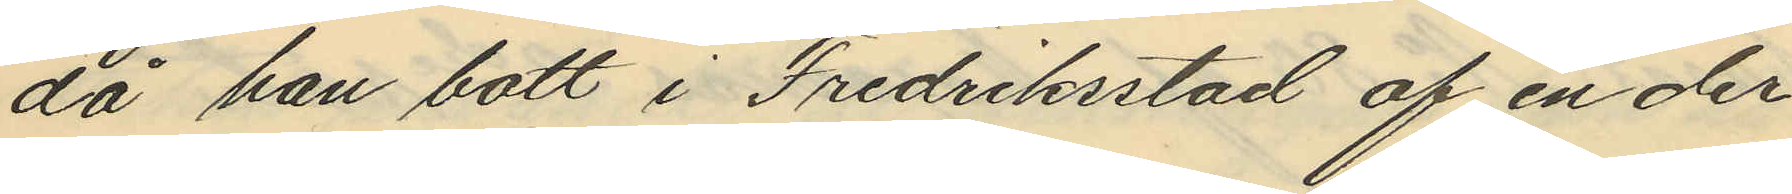då han bott i Fredriksstad af en der
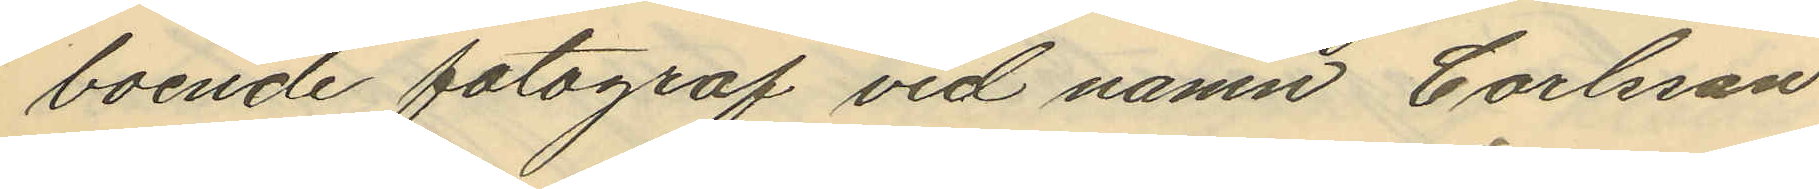boende fotograf vid namn Carlsson
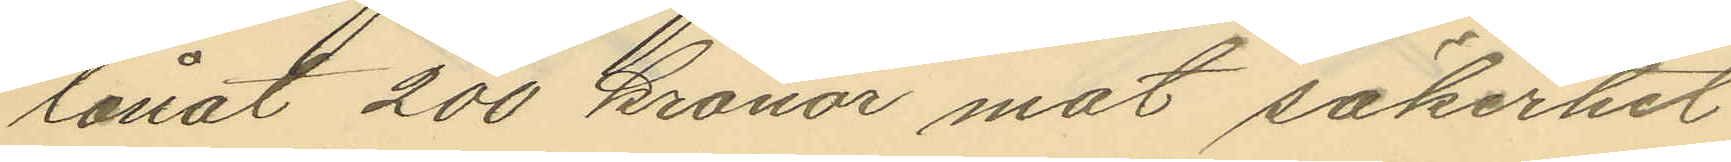lånat 200 kronor mot säkerhet
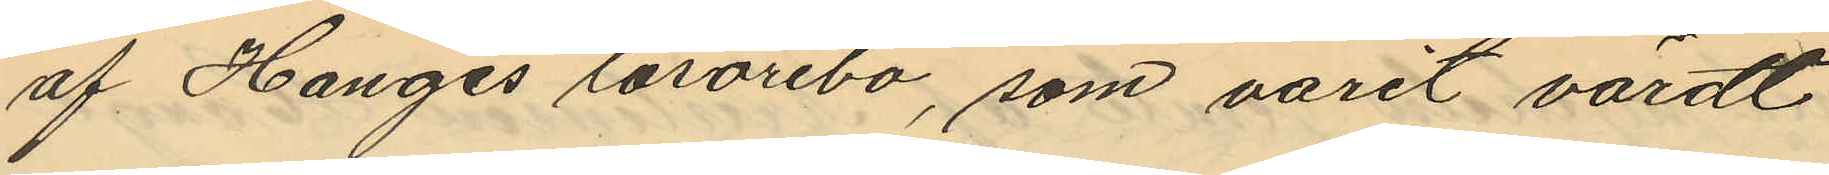af Hanges lösörebo, som varit värdt
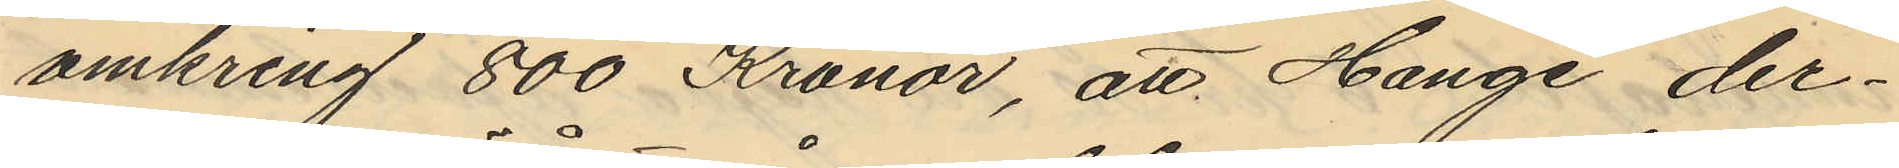omkring 800 Kronor, att Hange der¬
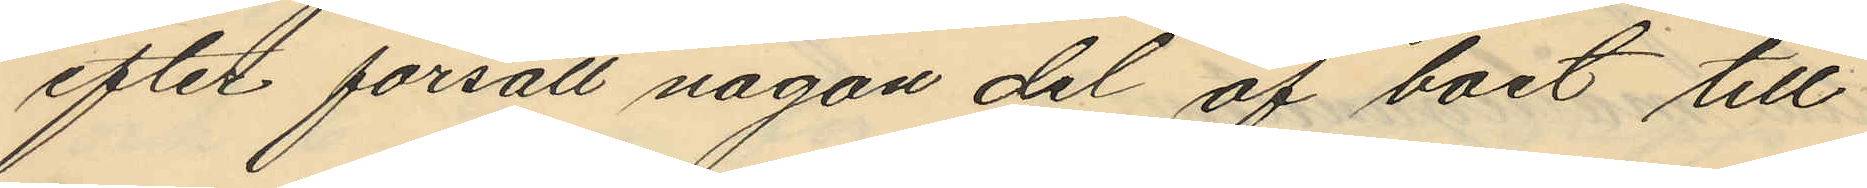efter försålt någon del af boet till
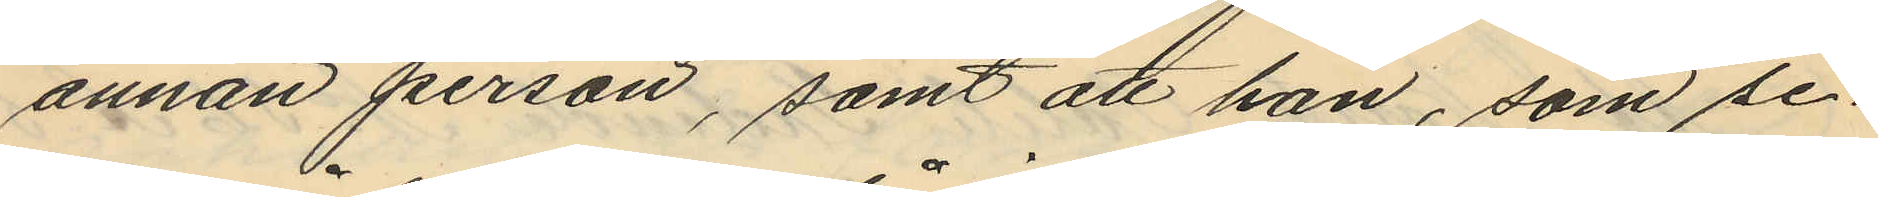annan person, samt att han, som se¬
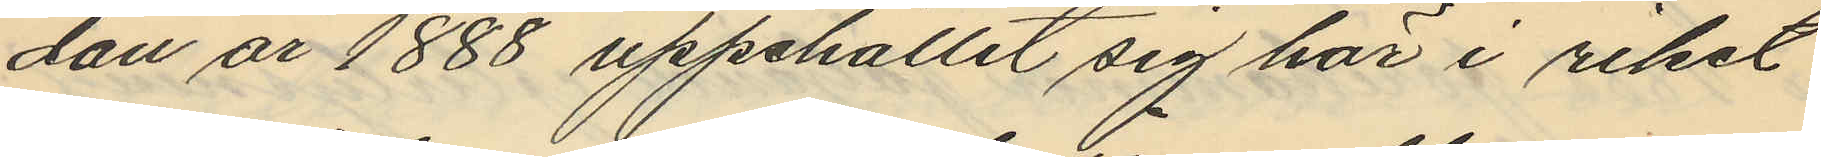dan år 1888 uppehållit sig här i riket
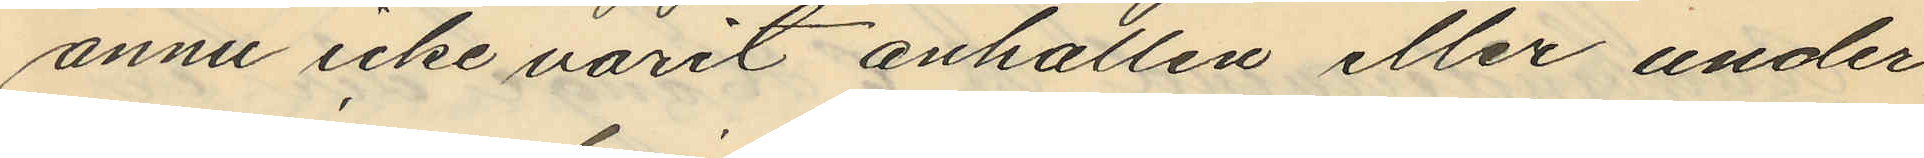ännu icke varit anhållen eller under
